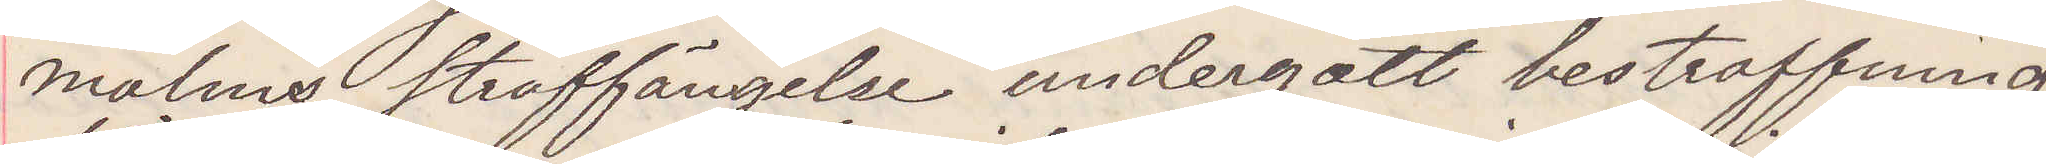malms straffängelse undergått bestraffning
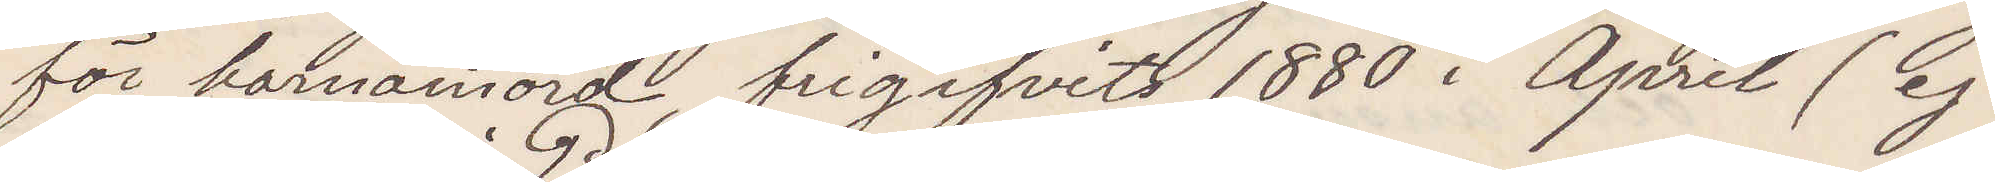för barnamord frigifvits 1880 i April (ej
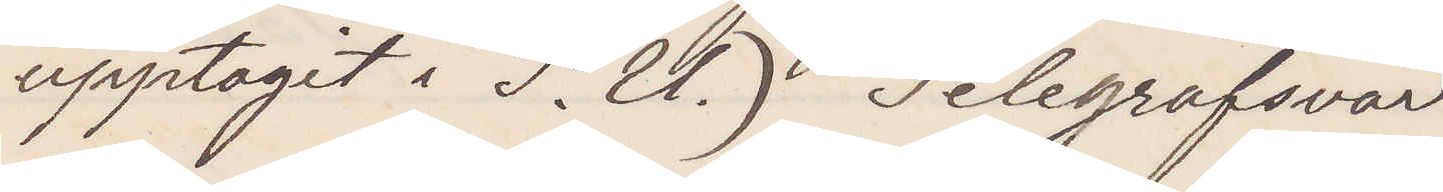upptagit i P. U.) Telegrafsvar
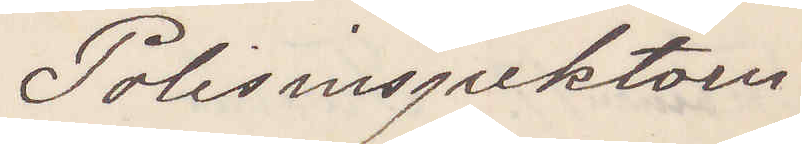Polisinspektorn.
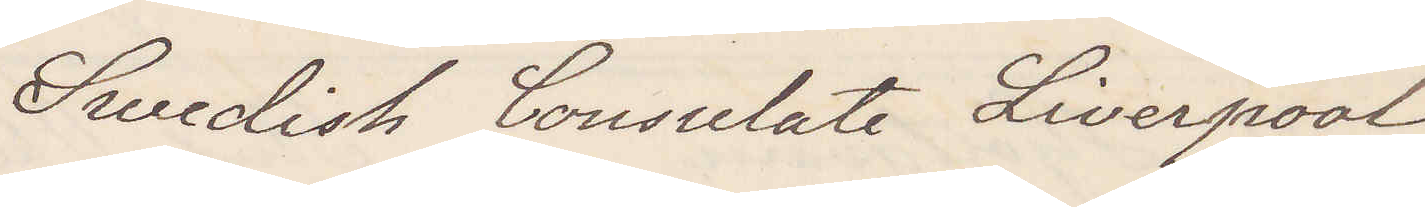Swedish Consulate Liverpool
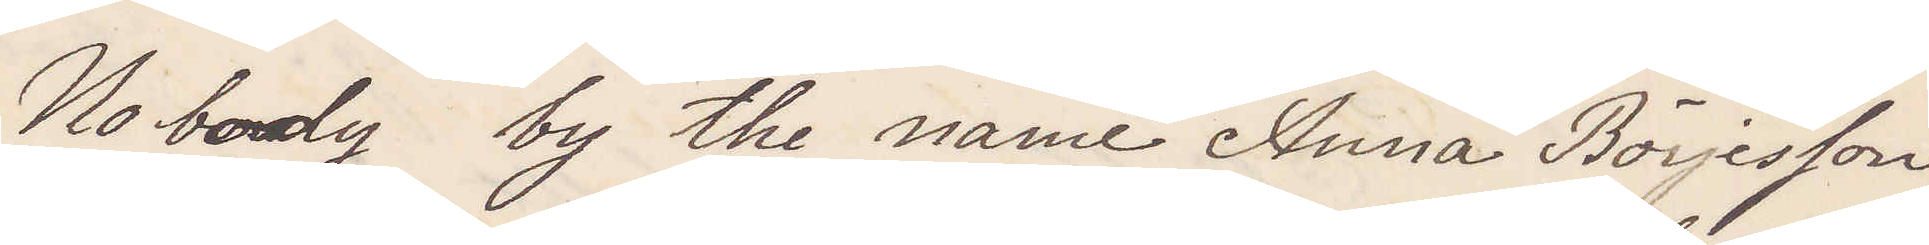Nobody by the name Anna Börjesson
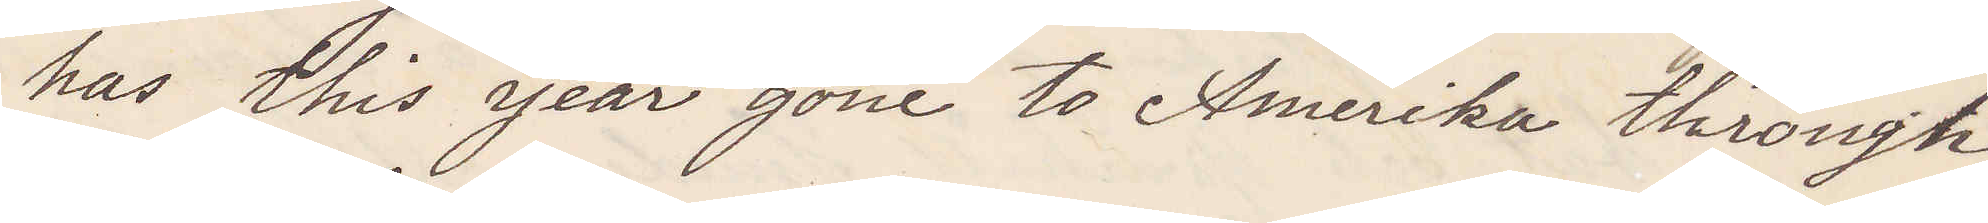has this year gone to Amerika through
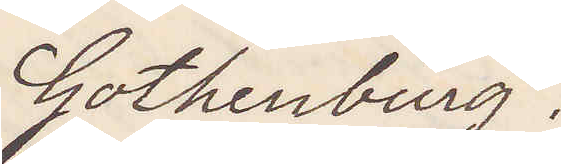Gothenburg.
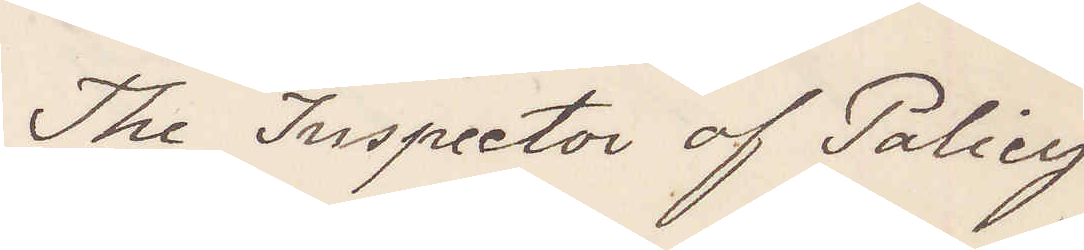The Inspector of Policy
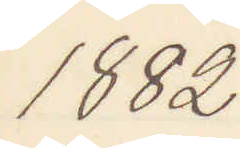1882
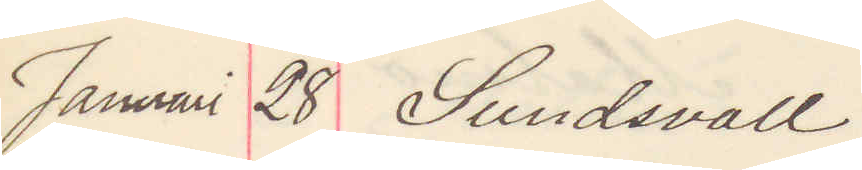Januari 28 Sundsvall
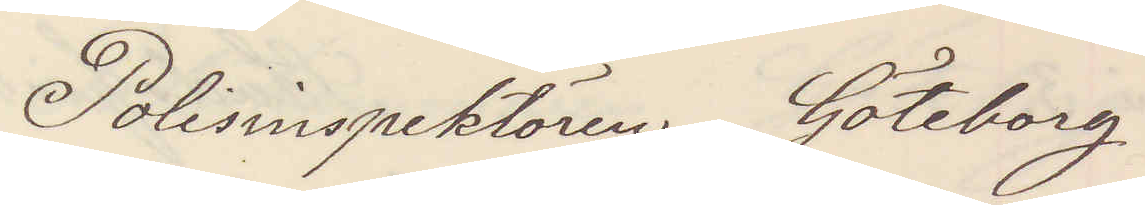Polisinspektören Göteborg.
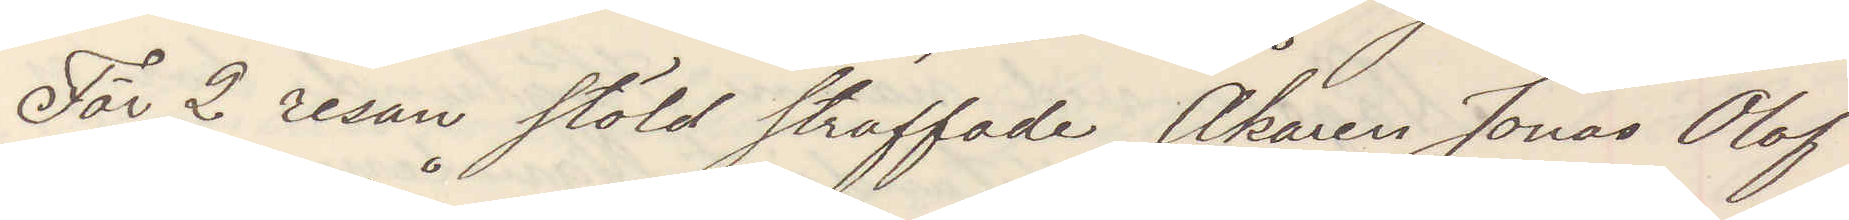För 2 resan stöld straffade Åkaren Jonas Olof
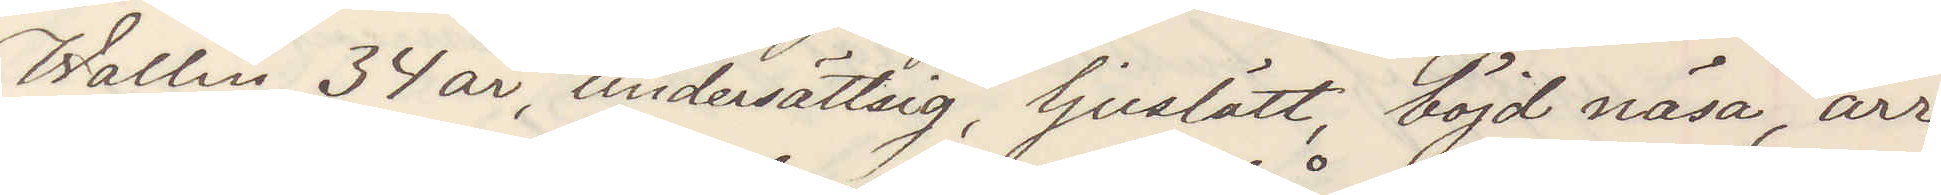Wallin, 34 år, undersättsig, ljuslätt, böjd näsa, ärr
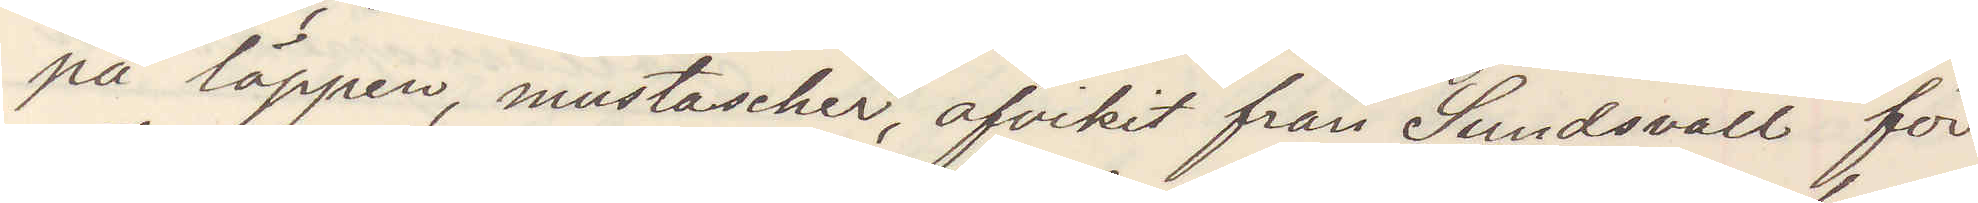på läppen, mustascher afvikit från Sundsvall för
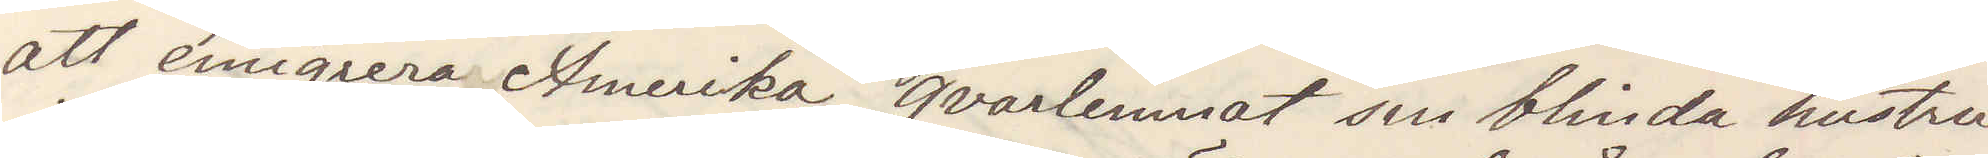att emigrera Amerika, qvarlemnat sin blinda hustru
